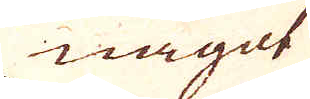något
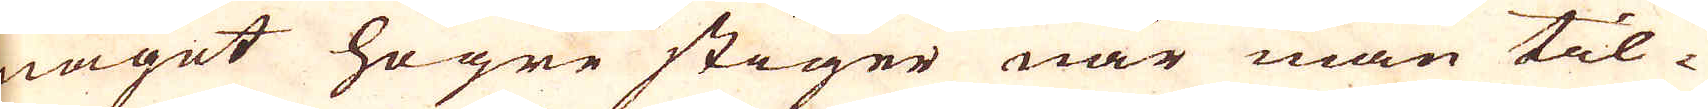något högre stiger när man til-
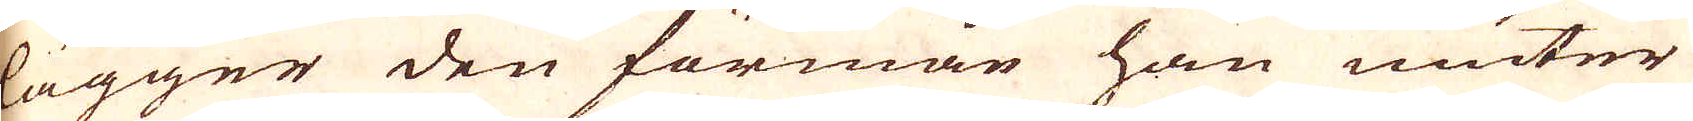lägger den förmon han niuter
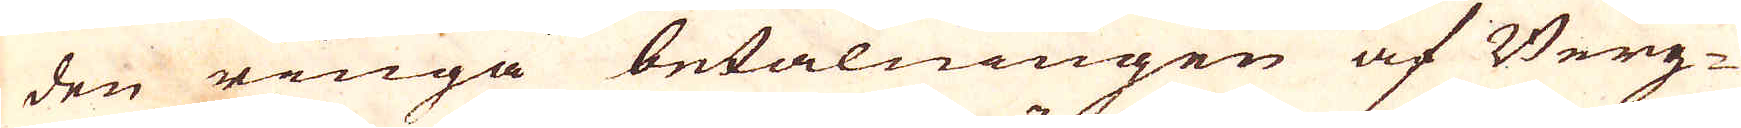den ringa betalningen af Berg-
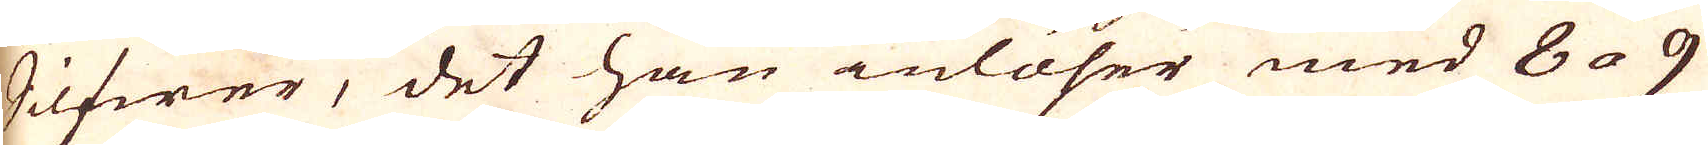Silfwer, det han inlöser med 8 a 9
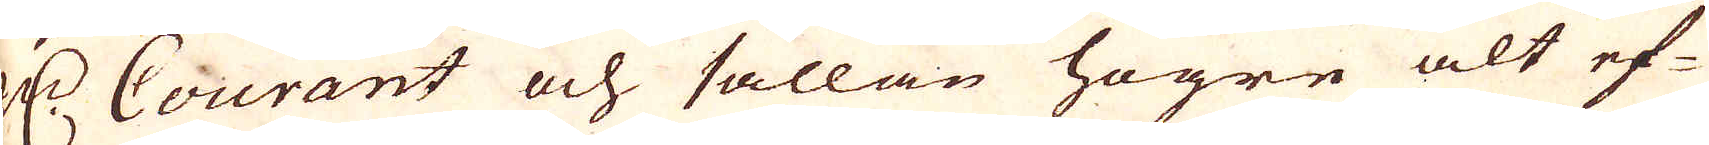R:dr Courant och sällan högre alt ef-
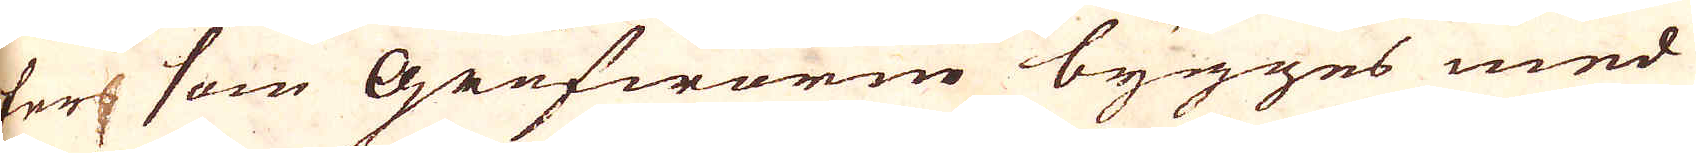ter som Grufworne bygges med
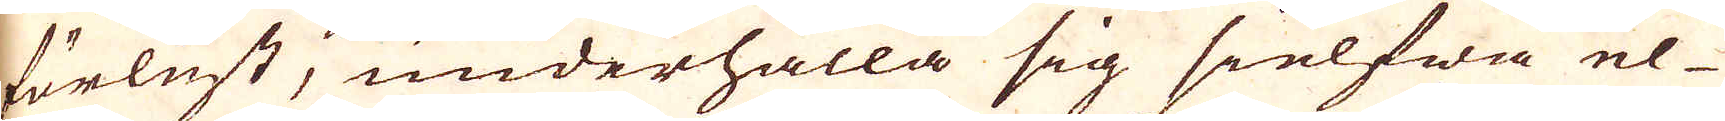förlust, underhålla sig sielfwa el-
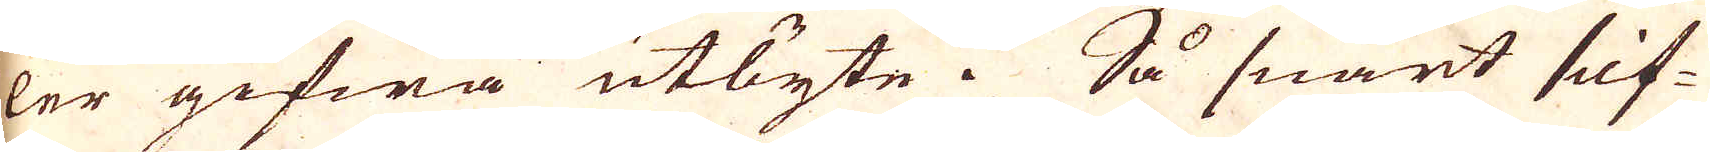ler gifwa utbyte. Så snart silf-
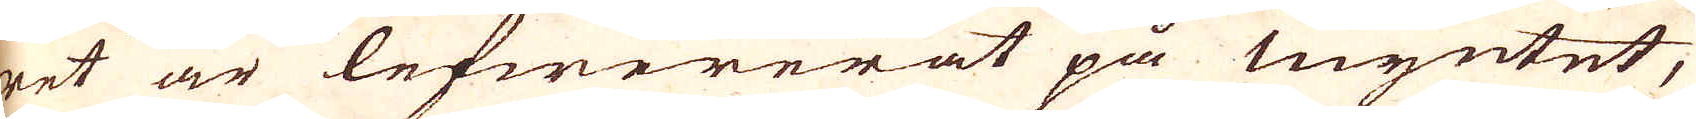ret är lefwererat på myntet,
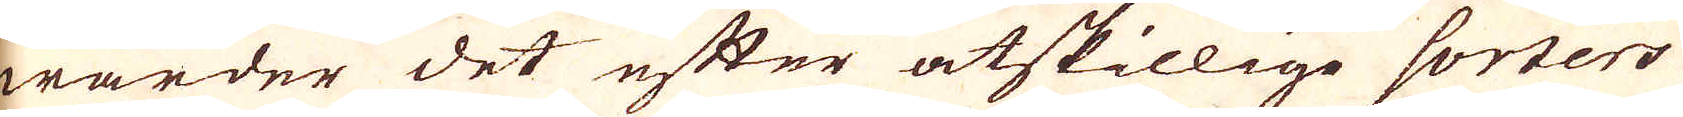warder det efter åtskillige sorters
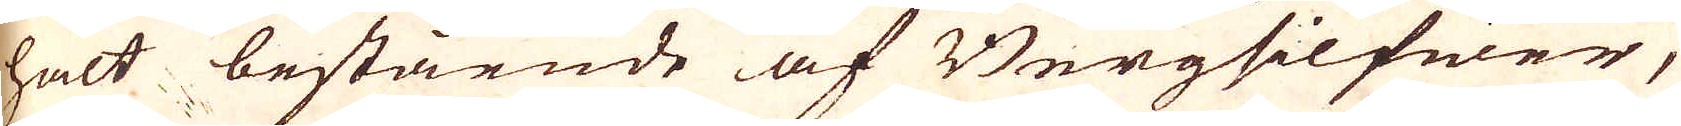halt bestående af Bergsilfwer,
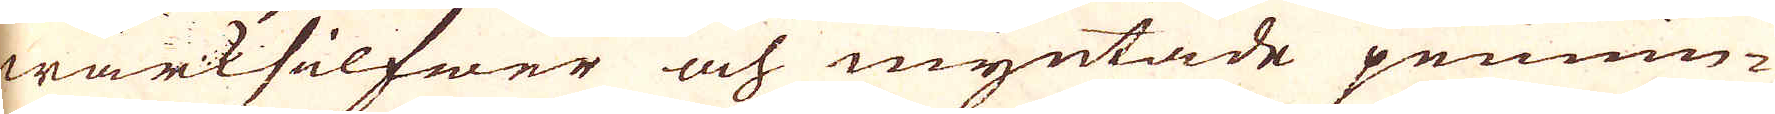wärksilfwer och myntade pennin-
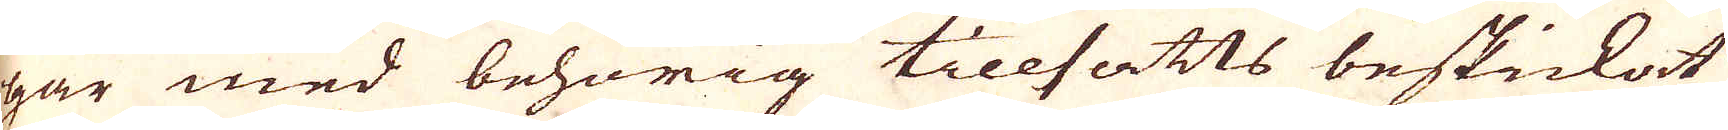gar med behörig tillsatts beskickat
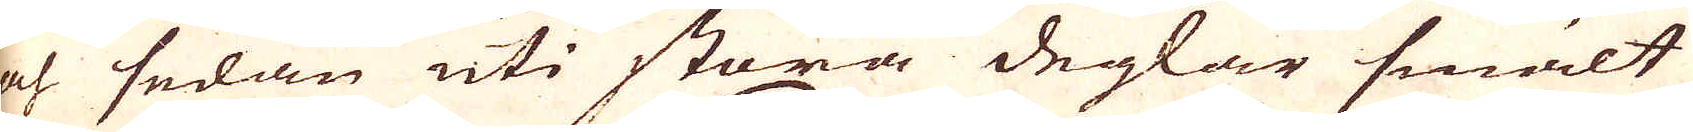och sedan uti stora deglar smält
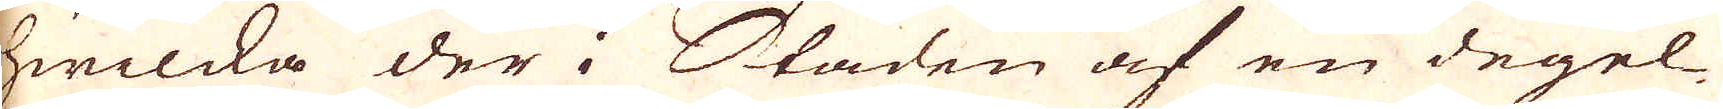hwilcka der i Staden af en degel-
